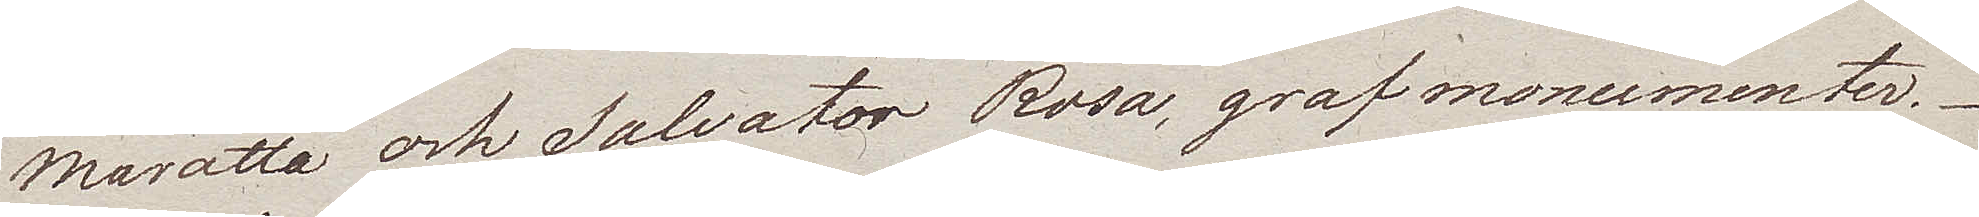Maratta och Salvator Rosa, grafmonumenter.
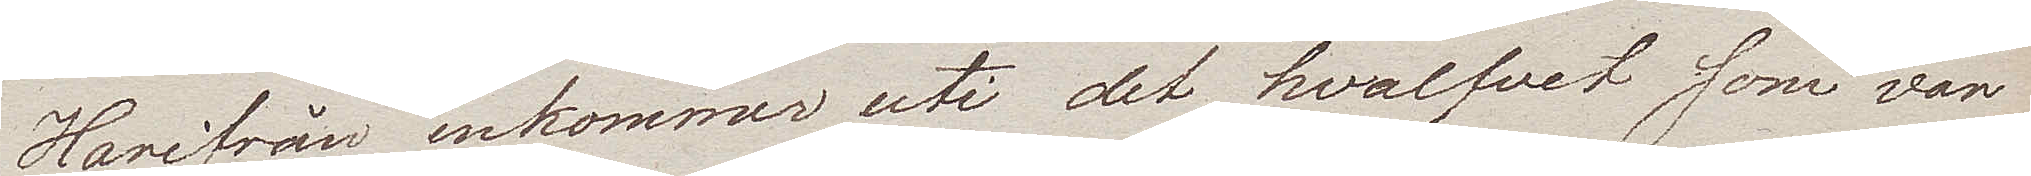Harifrån inkommer uti det hvalfvet som var
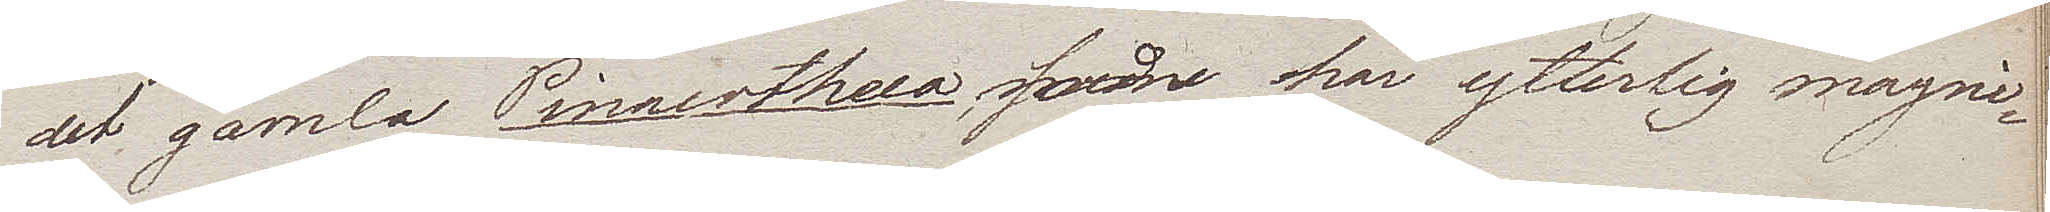det gamla Pinacotheca, som har ytterlig magni¬
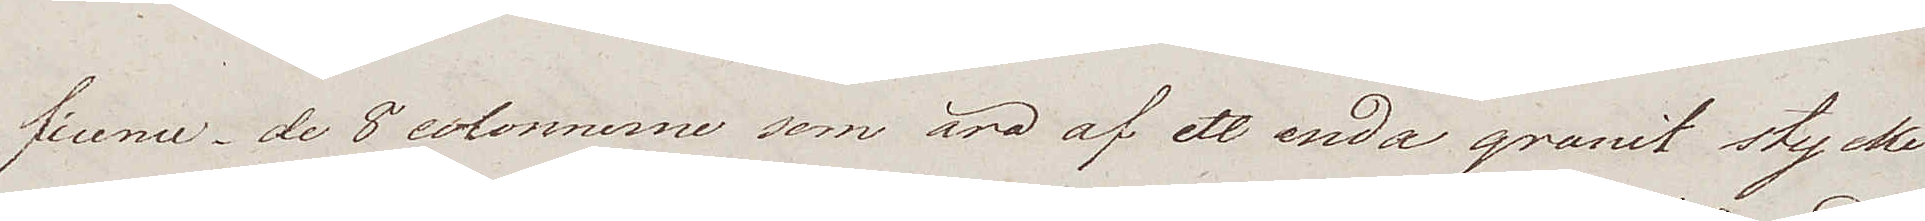ficence, de 8 colonnerne som äro af ett enda granit stycke
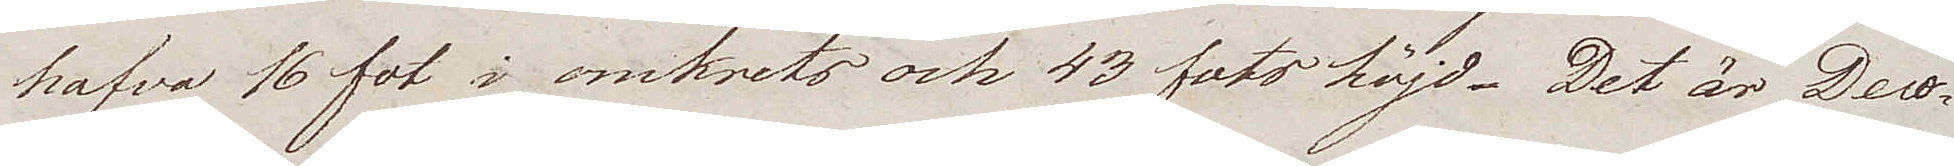hafva 16 fot i omkrets och 43 fots höjd. Det är Deco¬
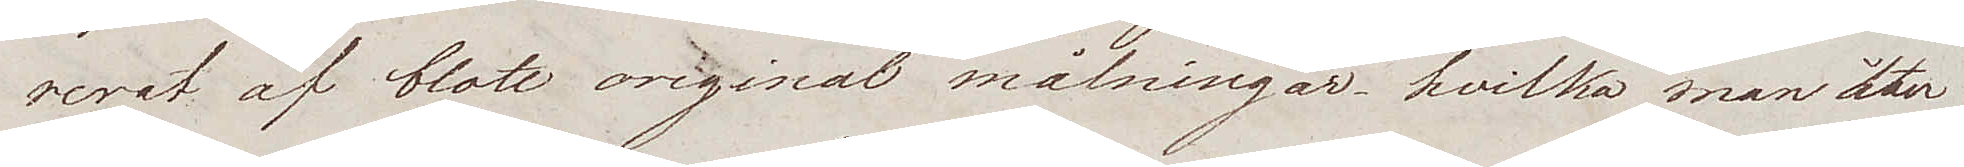rerat af blott original målningar, hvilka man åter¬
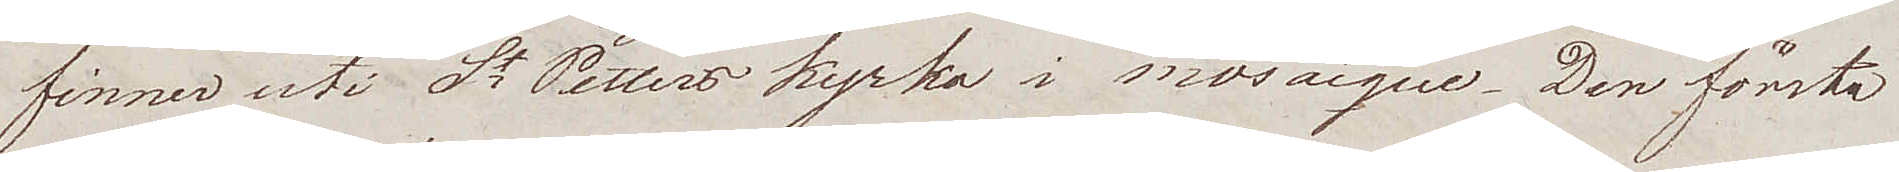finner uti St Petters kyrka i mosaique. Den förste
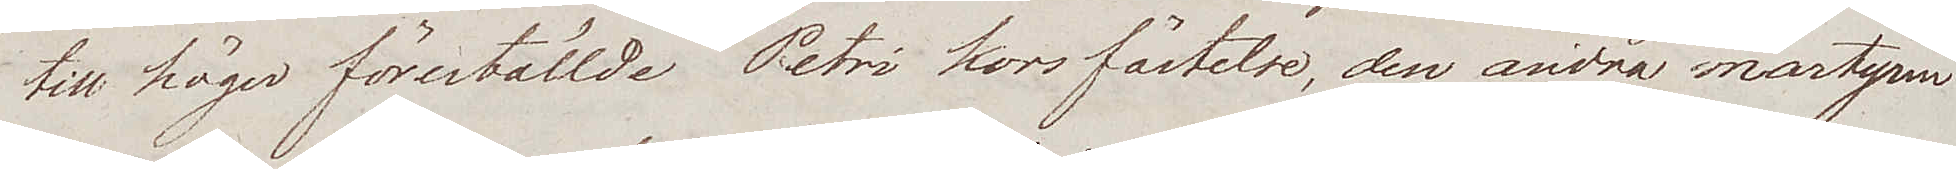till höger föreställde Petri korsfästelse, den andra martyren
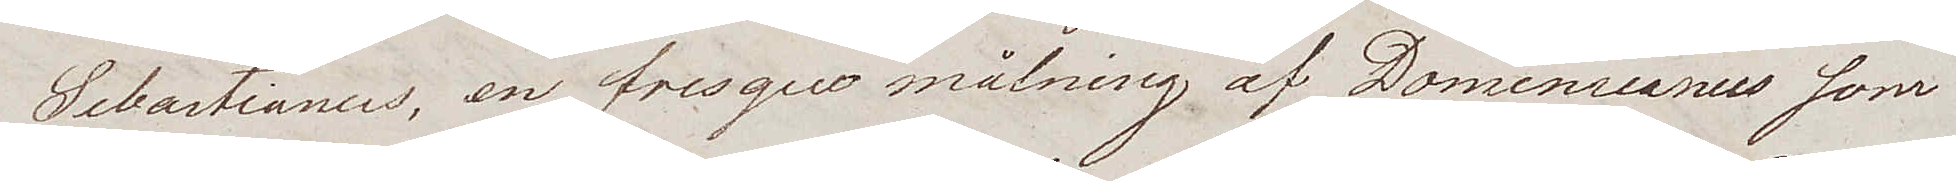Sebastianus, en fresquo målning af Dominicanus som
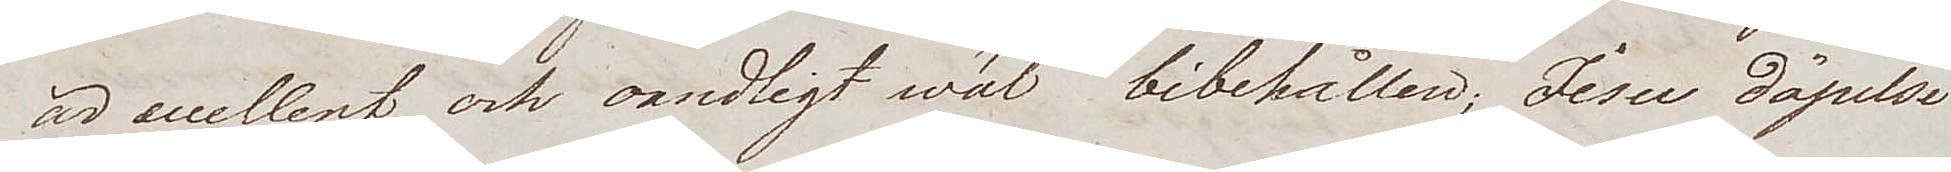är eccellent och oendligt wäl bibehållen; Jesu döpelse
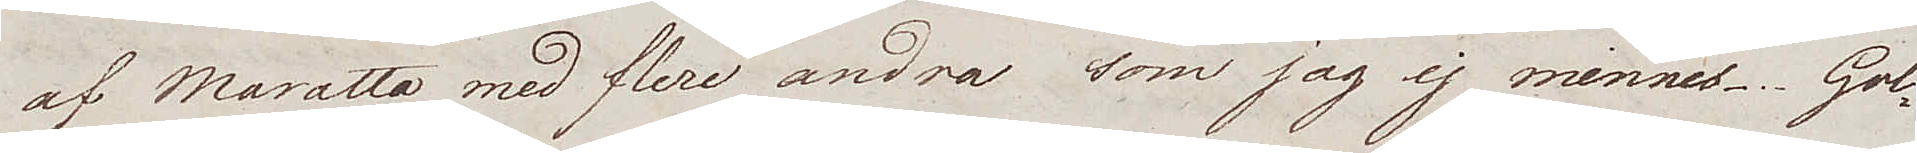af Maratta med flere andra som jag ej minnes. Gol¬
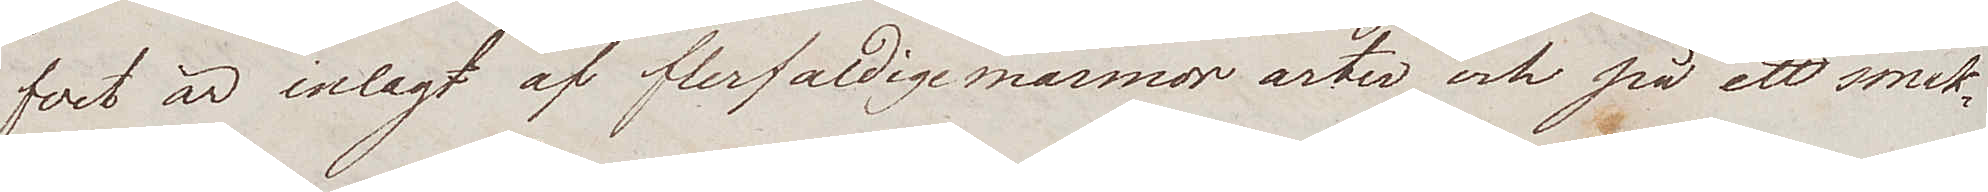fvet är inlagt af flerfaldige marmor arter och på ett smak¬
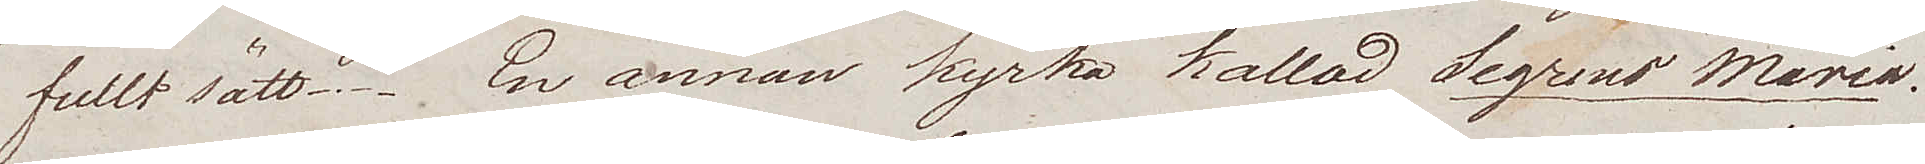fullt sätt. En annan kyrka kallad Segrino Maria.
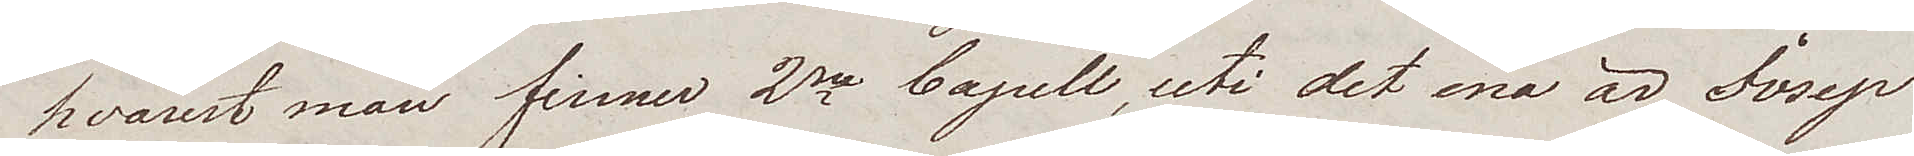hvarest man finner 2ne Capell, uti det ena är Josep
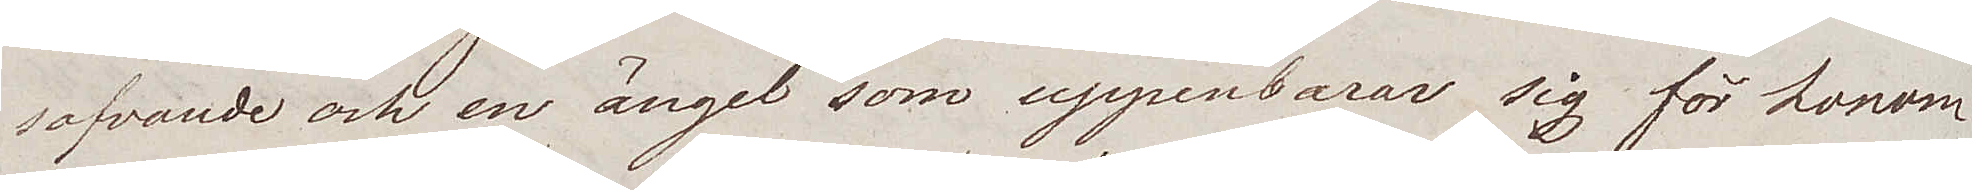sofvande och en ängel som uppenbarar sig för honom
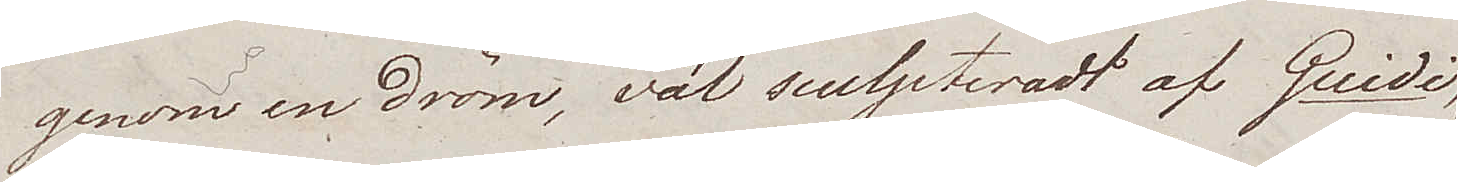genom en dröm, väl sculpteradt af Guidi,
